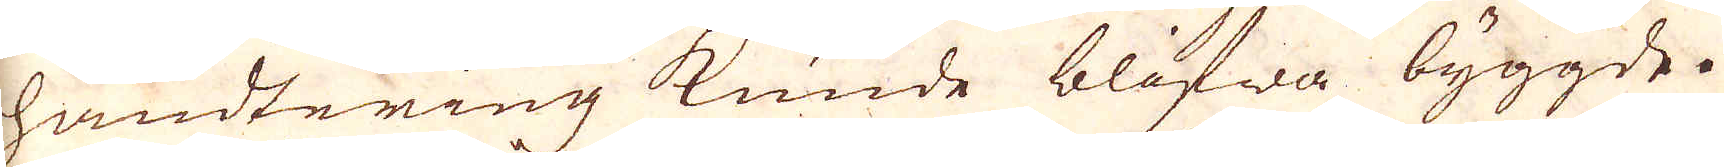handtering kunde blifwa byggde.
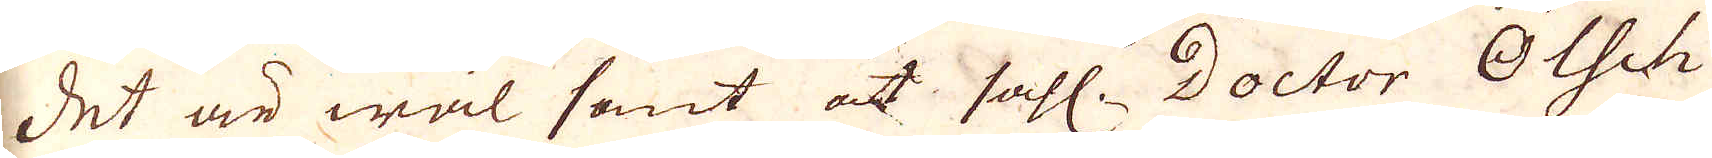Det är wäl sant at sahl: Doctor Olsch
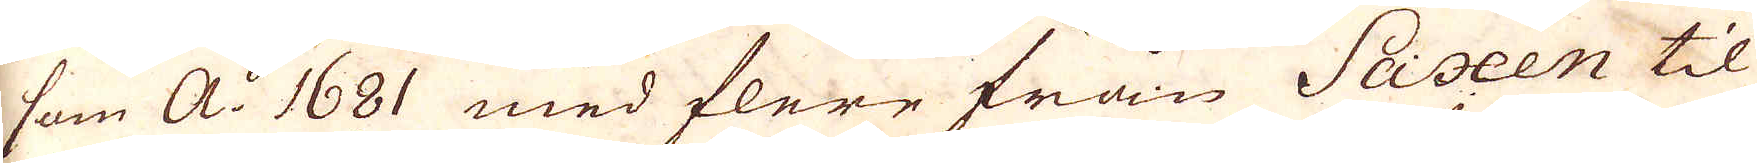som a:o 1681 med flere från Saxen til
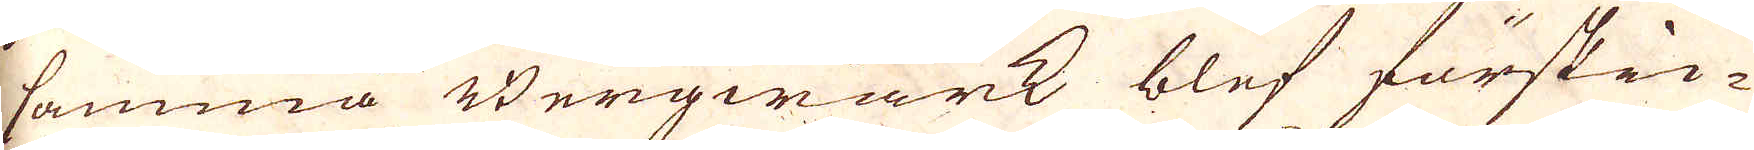samma Bergwärck blef förskic-
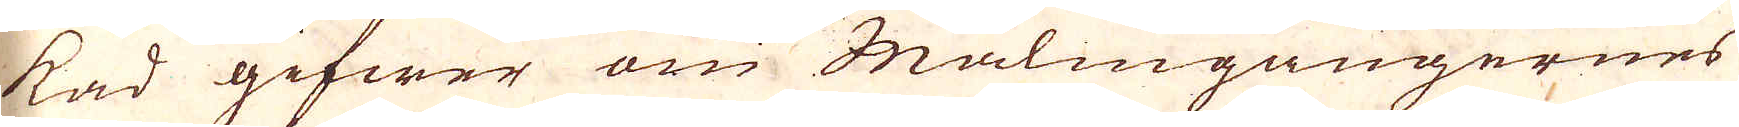kad gifwer om Malmgångernes
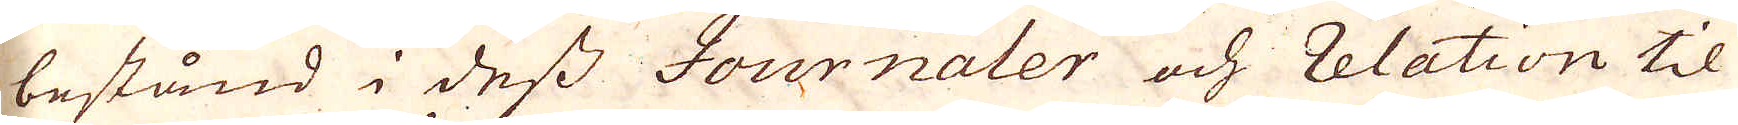bestånd i dess Journaler och Relation til
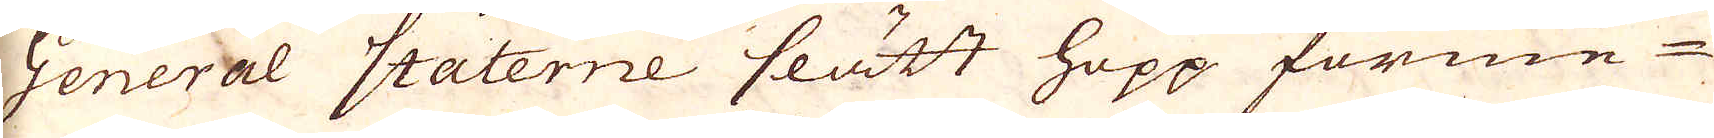General Staterne slätt hopp förme-
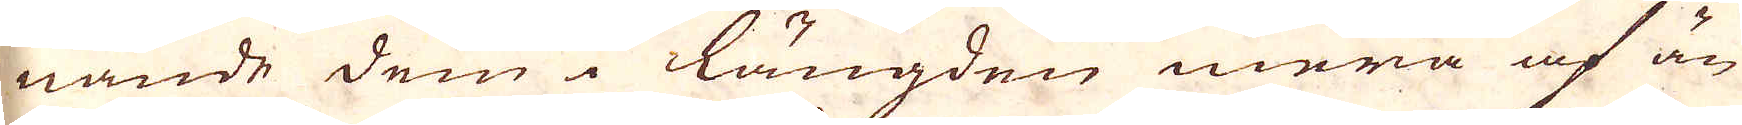nande dem längden mera af än
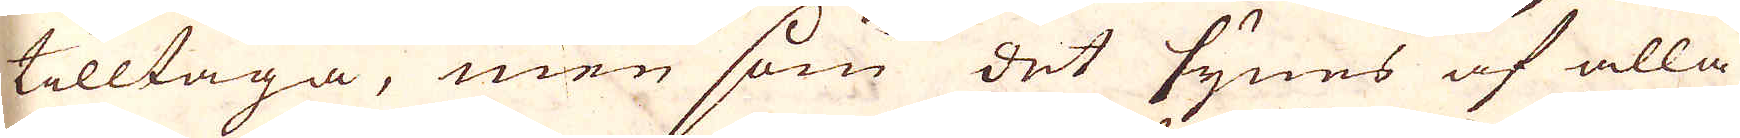tilltaga, men som det synes af alla
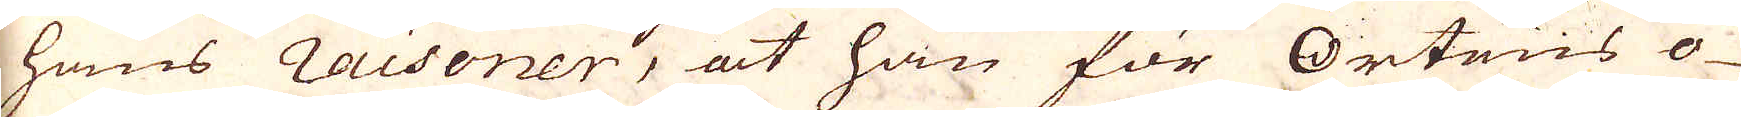hans raisoner, at han för ortens o-
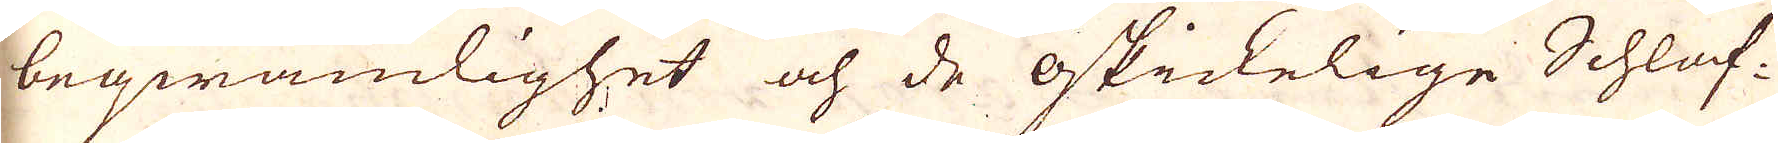beqwämlighet och de oskickelige Schlaf-
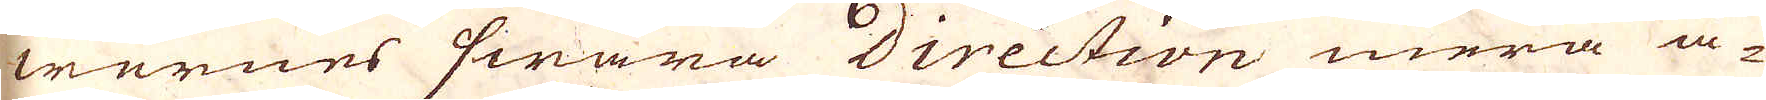wernes swåra direction mera å-
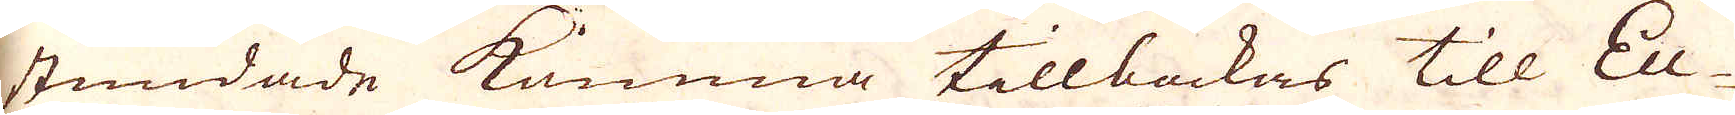stundade komma tillbackas till Eu-
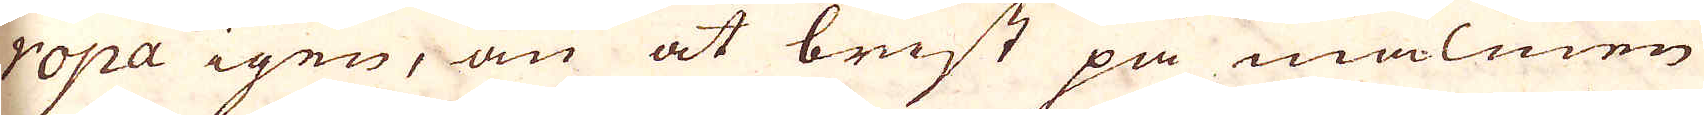ropa igen, än at brist på malmen
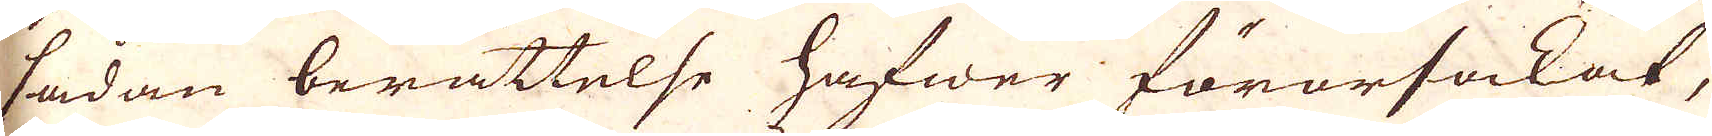sådan berättelse hafwer förorsakat,
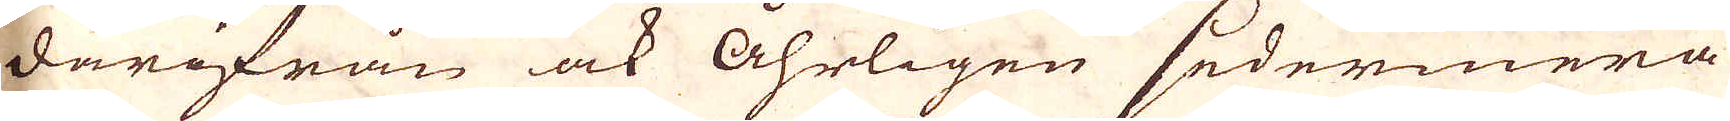därifrån ock åhrligen sedermera
